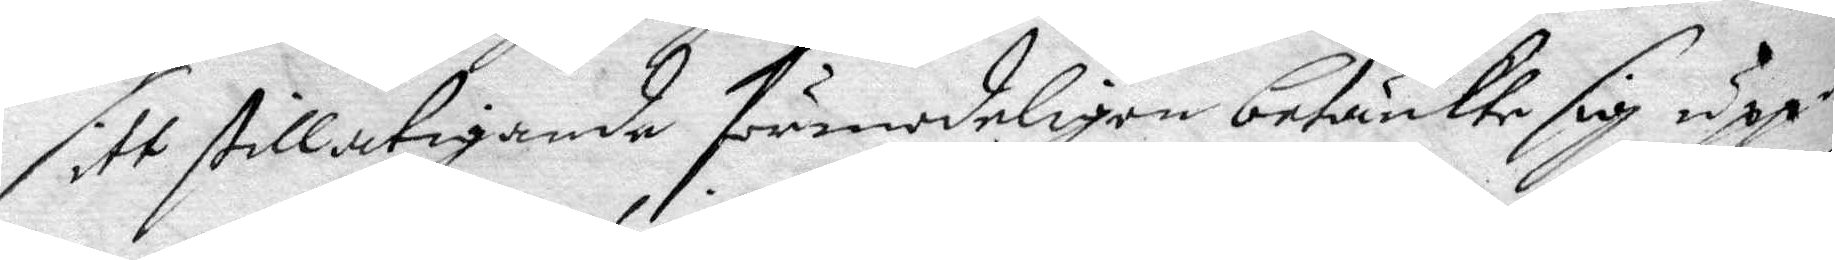sitt stillatigande förmodeligen betänkte sig uppå
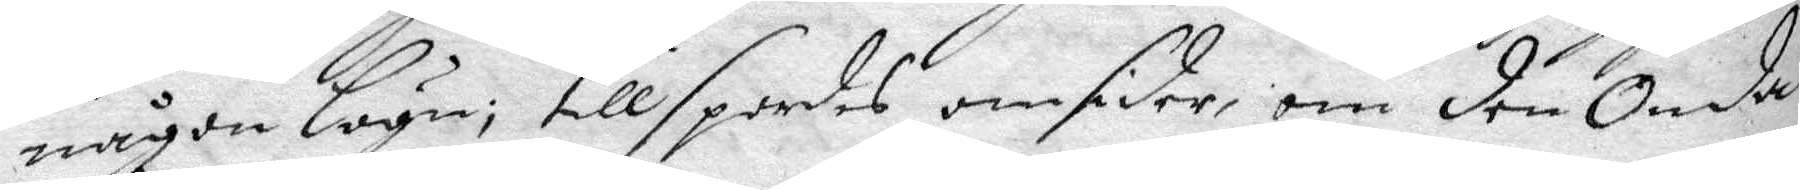någon lögn; tillspordes omsider, om den Onde
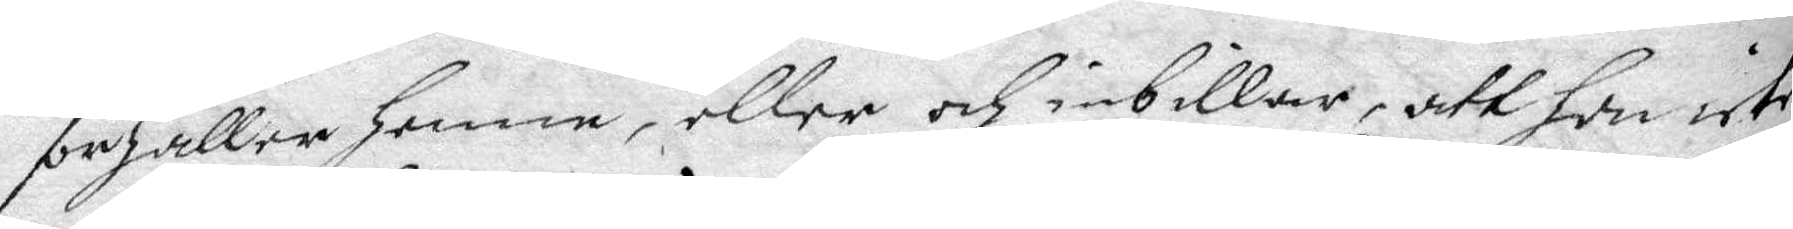förhåller Henne, eller och inbillar, att hon icke
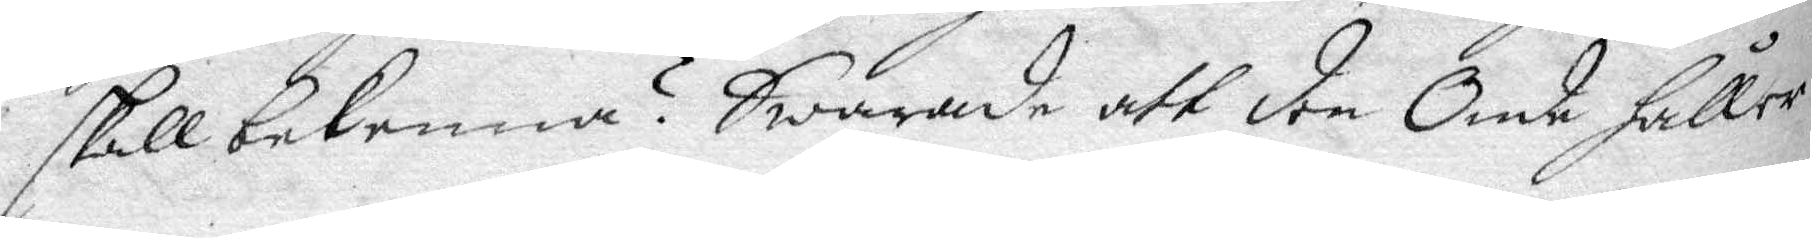skall bekenna? Swarade att den Onde håller
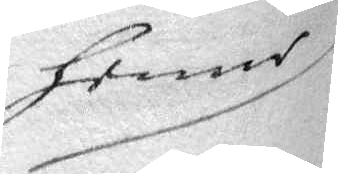henne
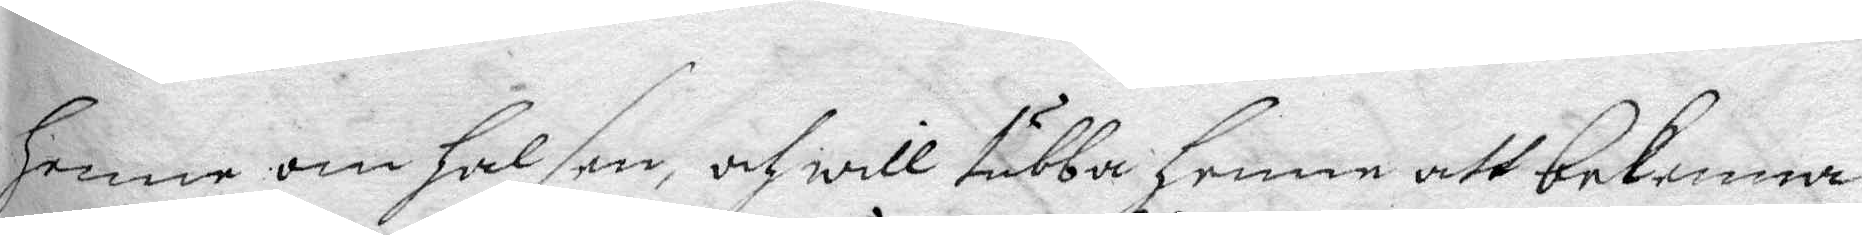Henne om halsen, och will tubba henne att bekenna
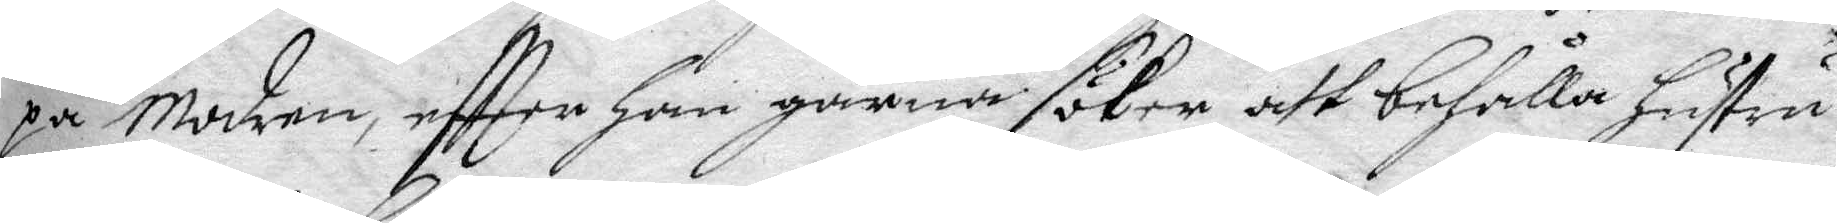på Modren, eftter han gärna söker att behålla hustru
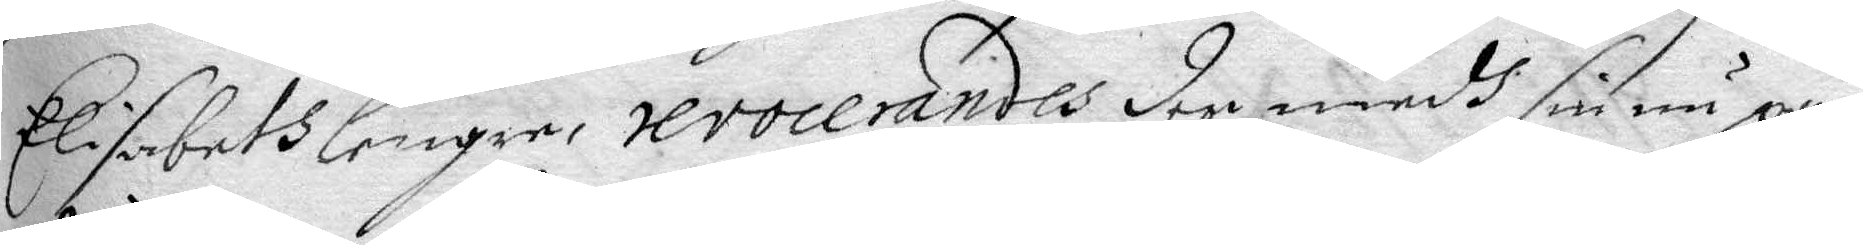Elisabeth lengre, revocerandes den medh sin nu på
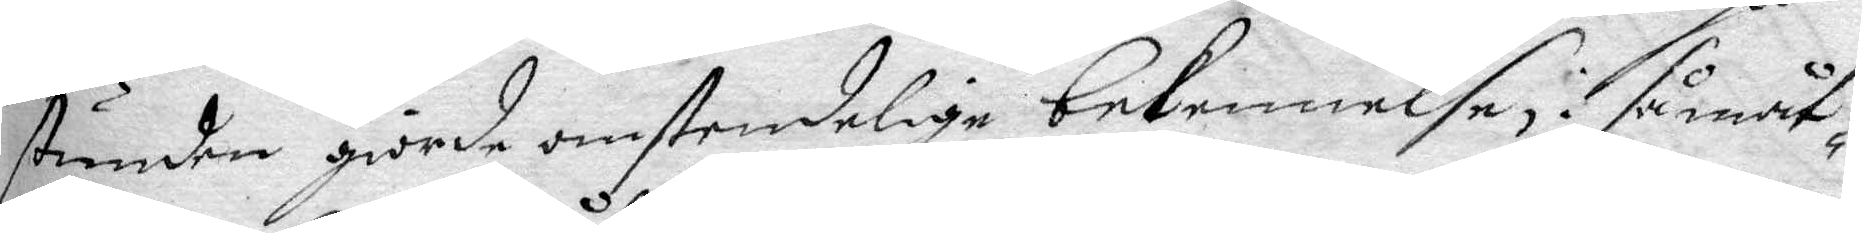stunden giorde omstendelige bekennelse, så måt¬
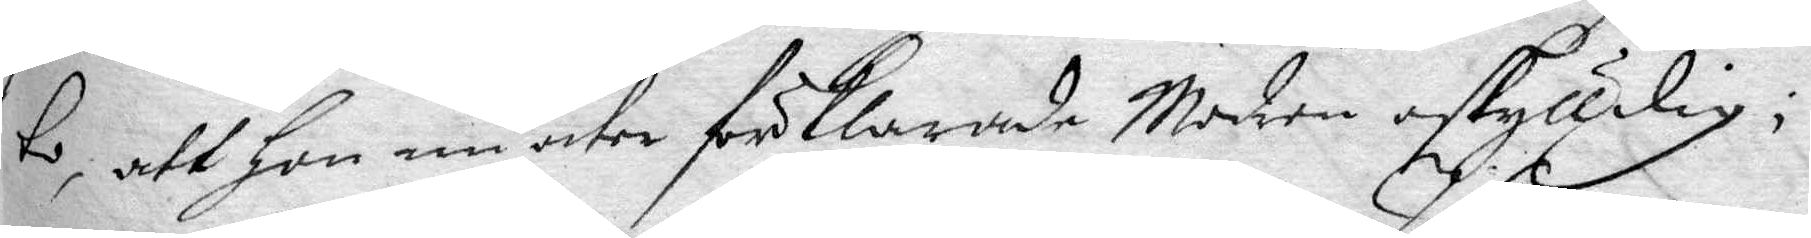to, att hon nu åter förklarade Modern oskylldig;
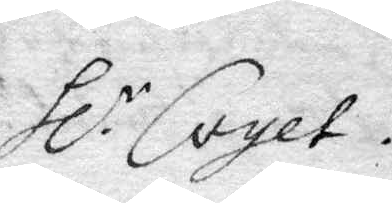Hl.r Coyet.
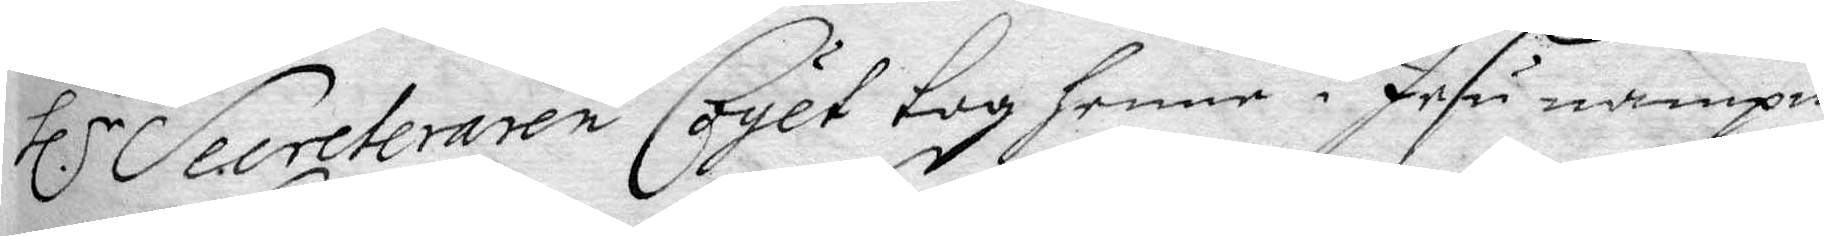Hl.r Secreteraren Coyet tog henne i Jesu nampn 
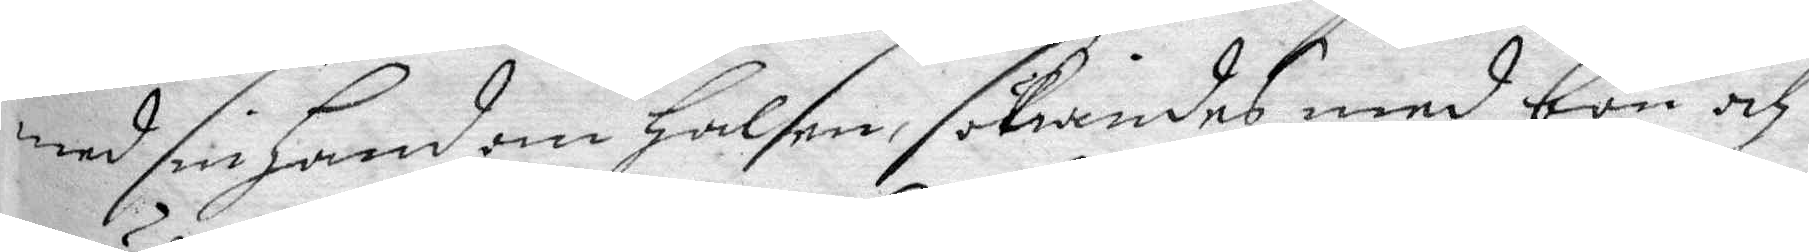med sin hand om Halsen, sökiandes med bön och
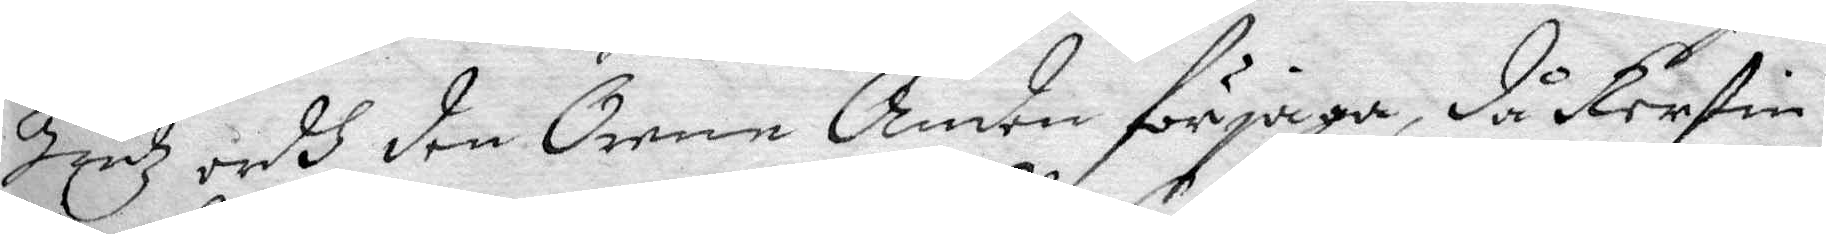Gudz ordh den Orne Anden förjaga, då Kerstin
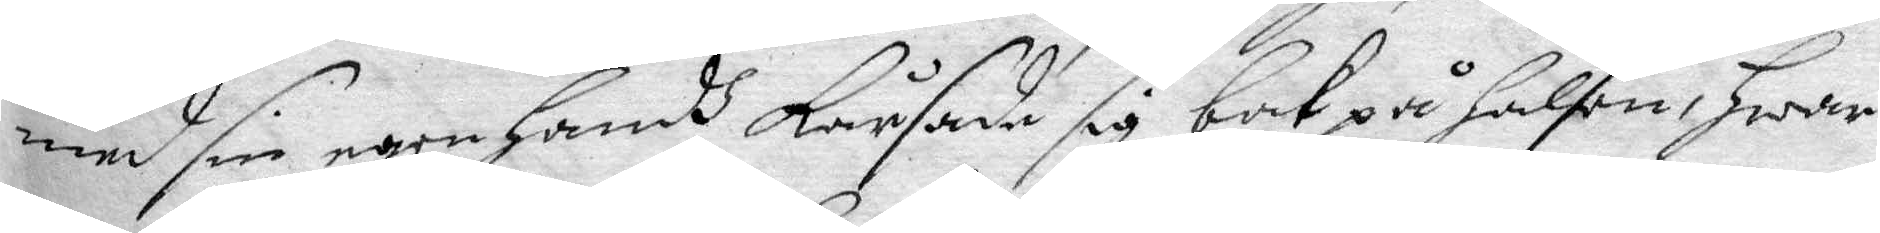med sin egen handh Kårsade sig bak på Halsen, Hwar
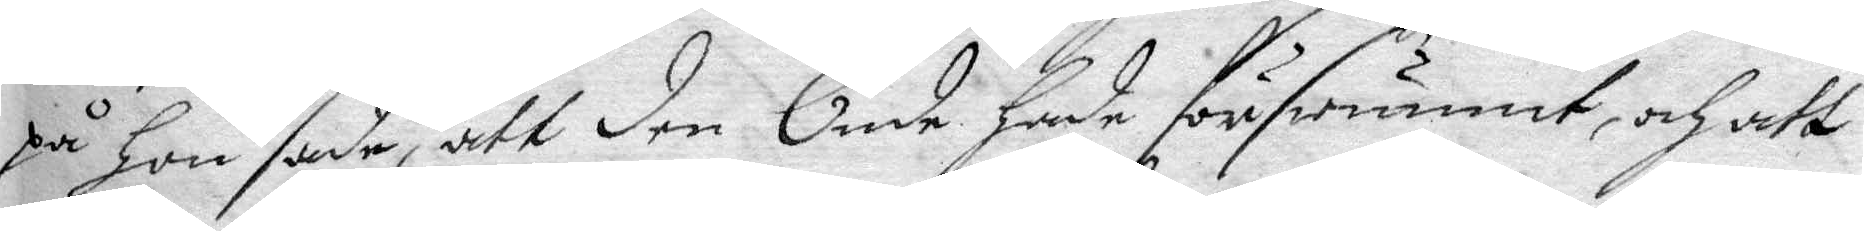tå hon sade, att den Onde hade förswunnit och att
